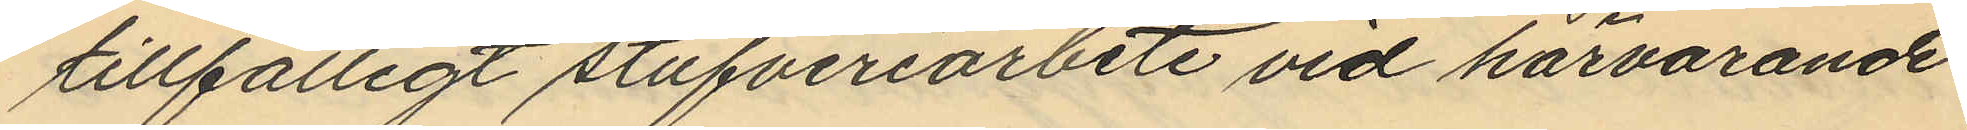tillfälligt stufveriarbete vid härvarande
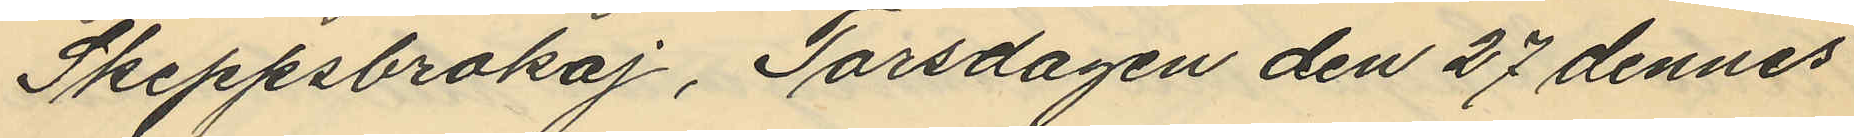Skeppsbrokaj, Torsdagen den 27 dennes
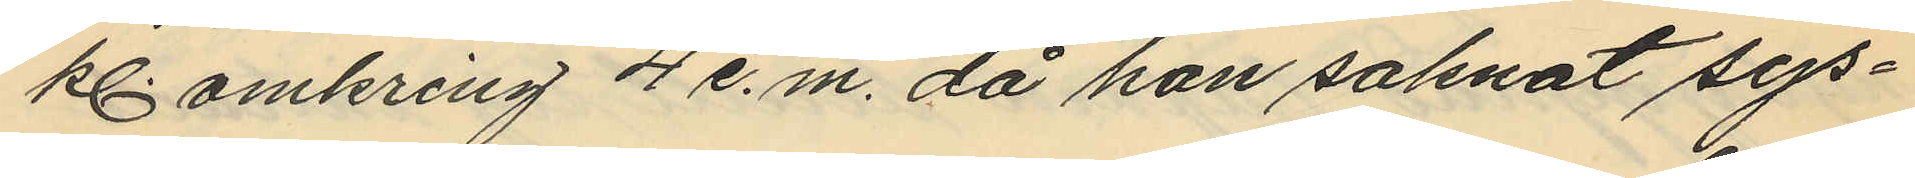kl omkring 4 e.m. då han saknat sys¬
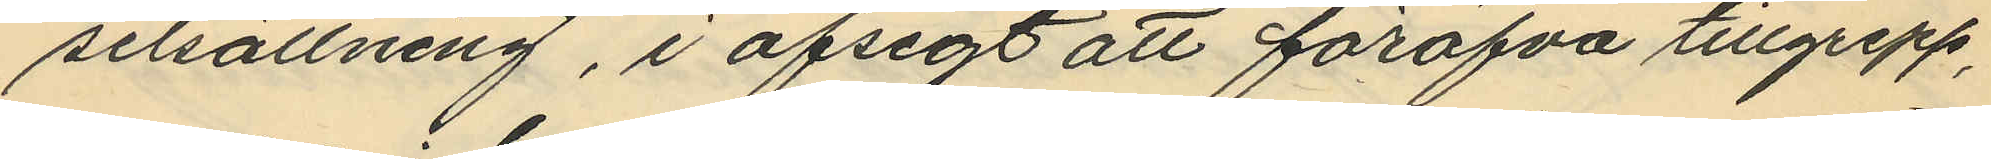selsättning, i afsigt att föröfva tillgrepp,
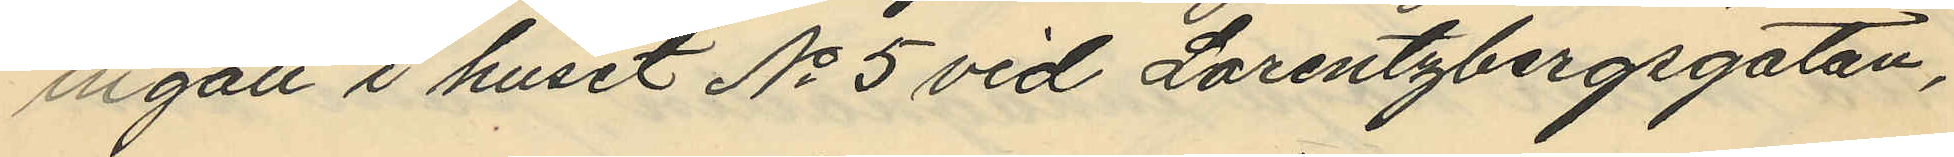ingått i huset No 5 vid Lorentzbergsgatan,
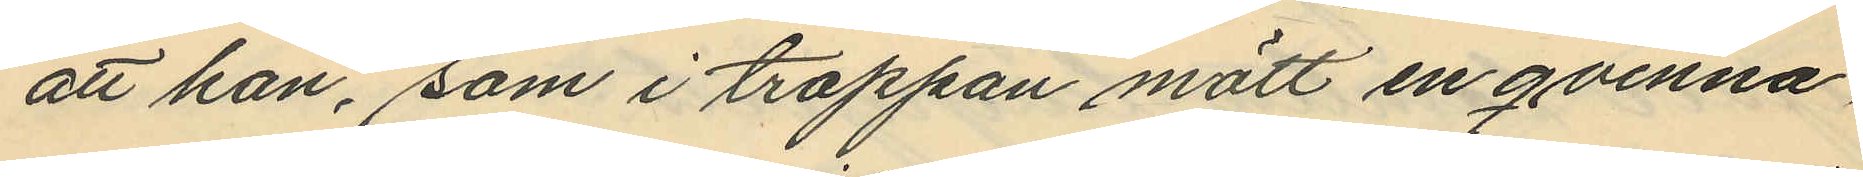att han, som i trappan mött en qvinna,
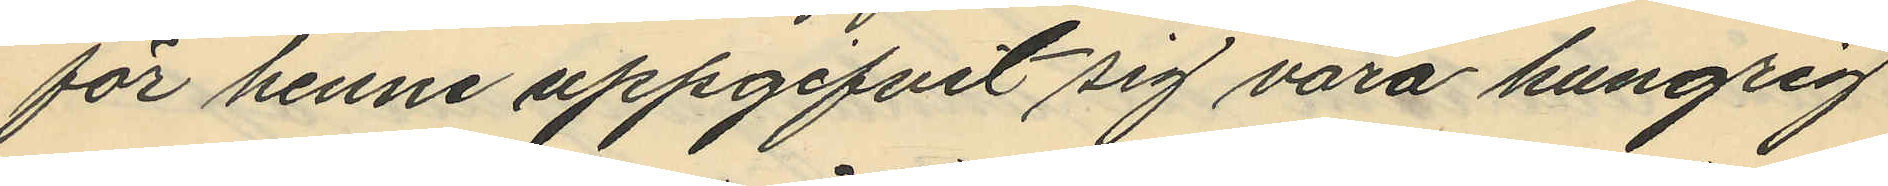för henne uppgifvit sig vara hungrig
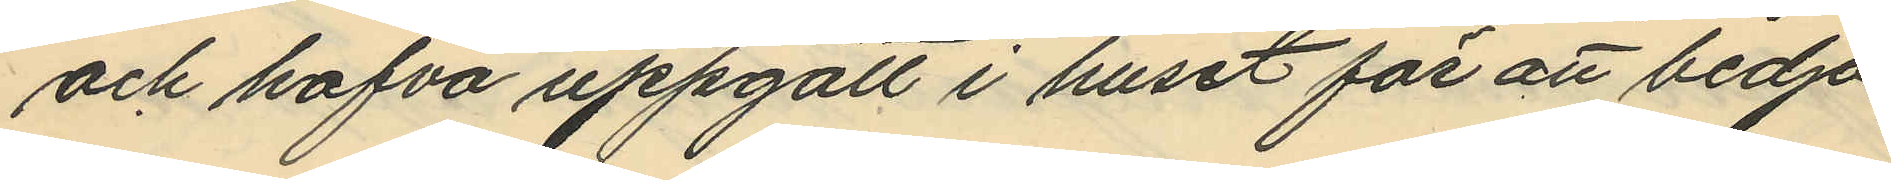och hafva uppgått i huset för att bedja
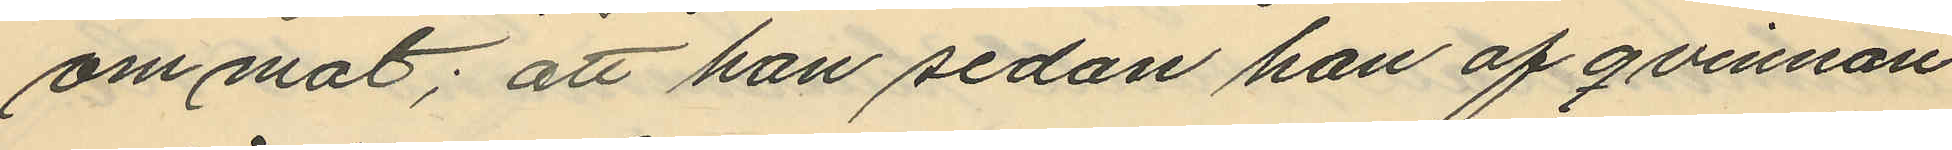om mat; att han sedan han af qvinnan
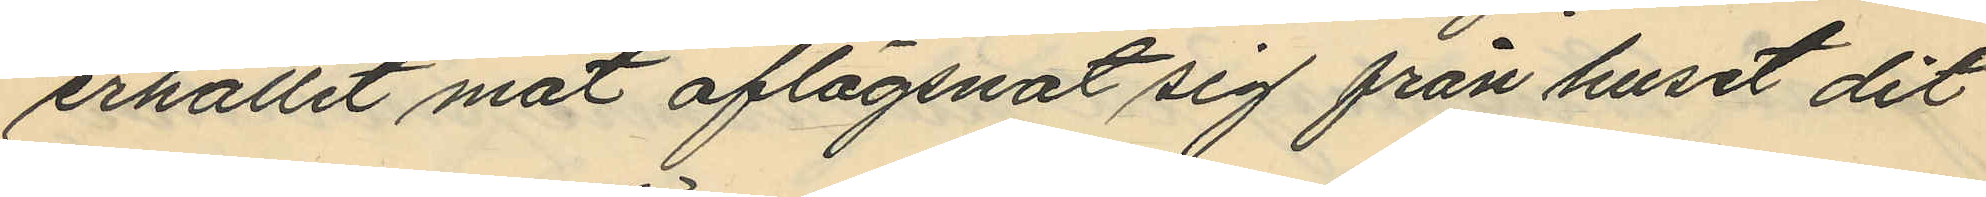erhållit mat aflägsnat sig från huset dit
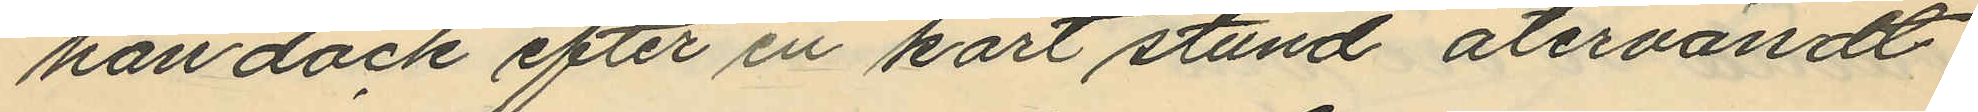han dock efter en kort stund återvändt
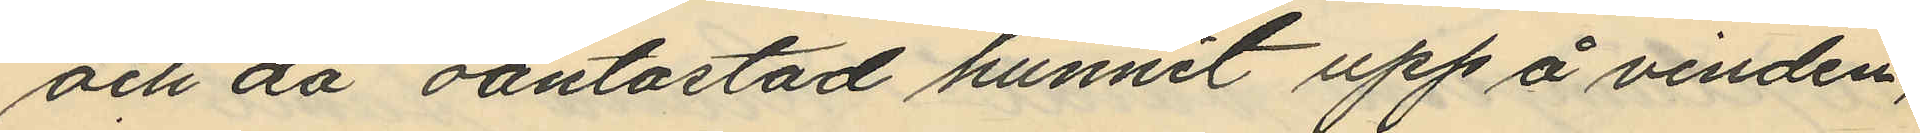och då oantastad hunnit upp å vinden,
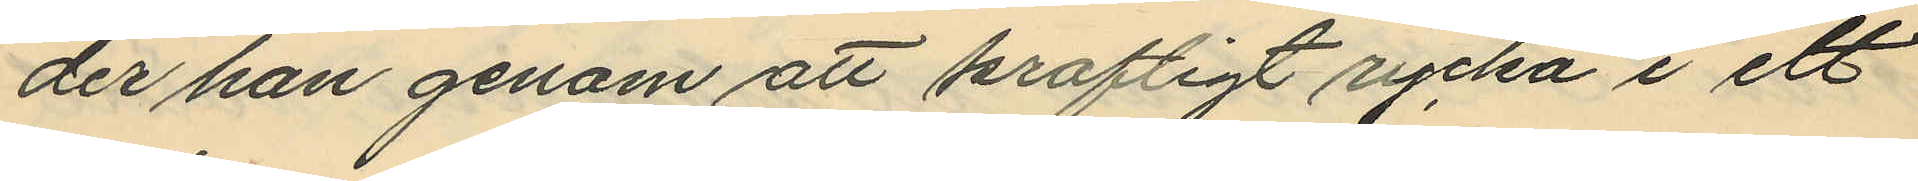der han genom att krafligt rycka i ett
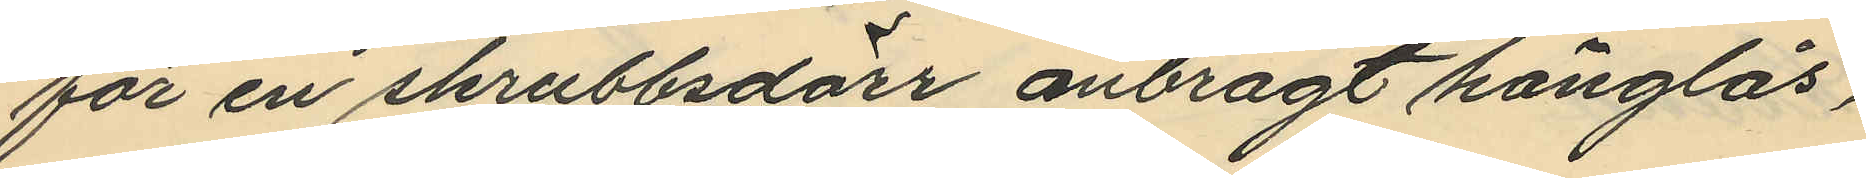för en skrubbsdörr anbragt hänglås,
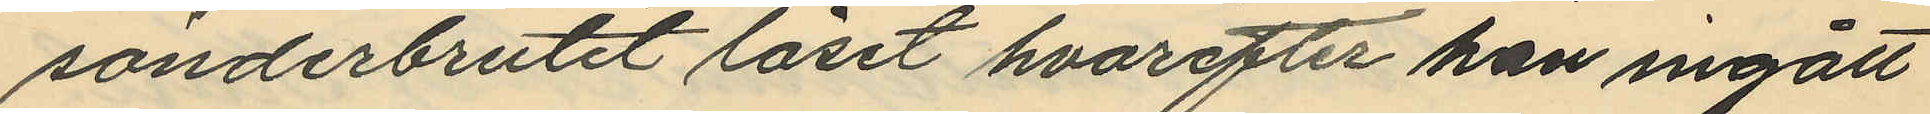sönderbrutit låset hvarefter han ingått
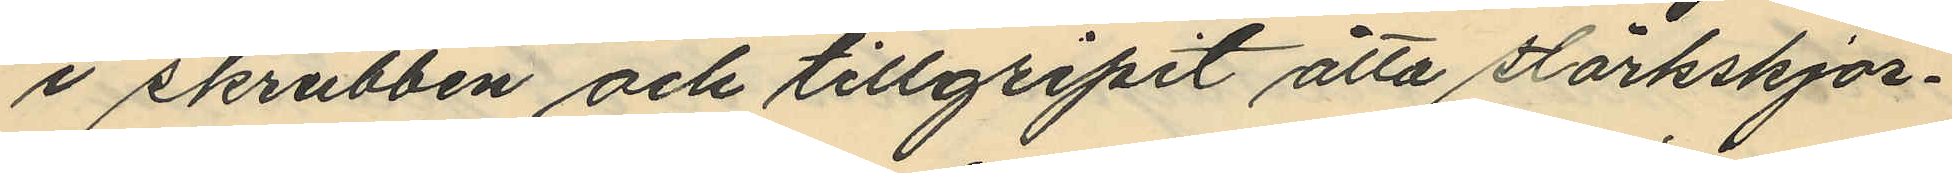i skrubben och tillgripit åtta stärkskjor¬
